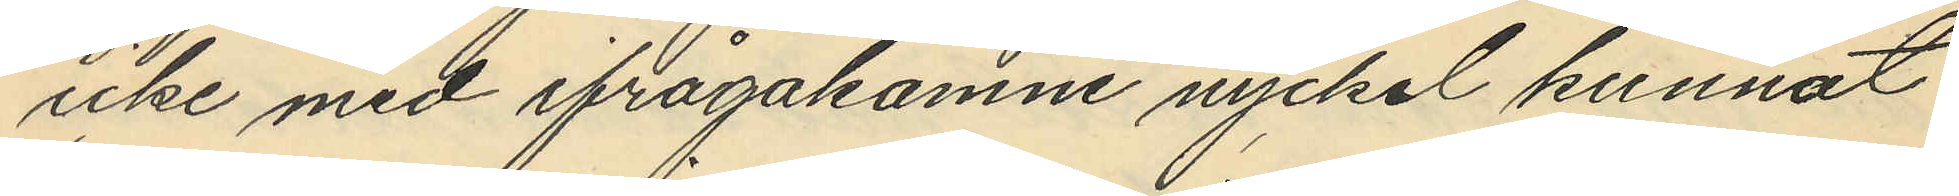icke med ifrågakomne nyckel kunnat
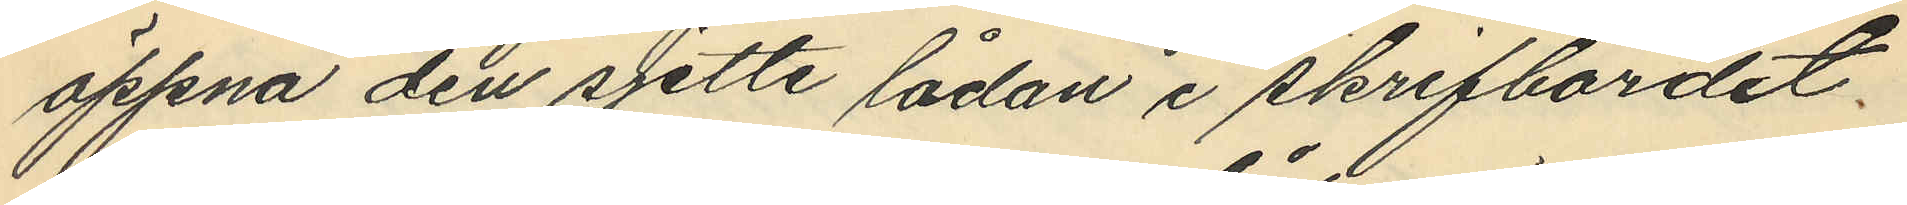öppna den sjette lådan i skrifbordet.
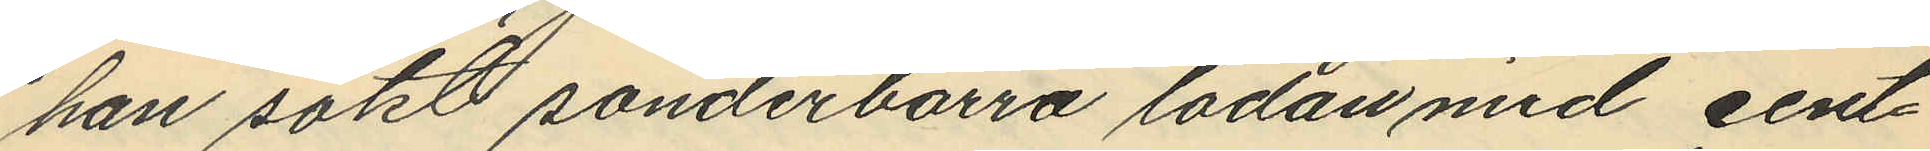han sökt sönderborra lådan med cent¬
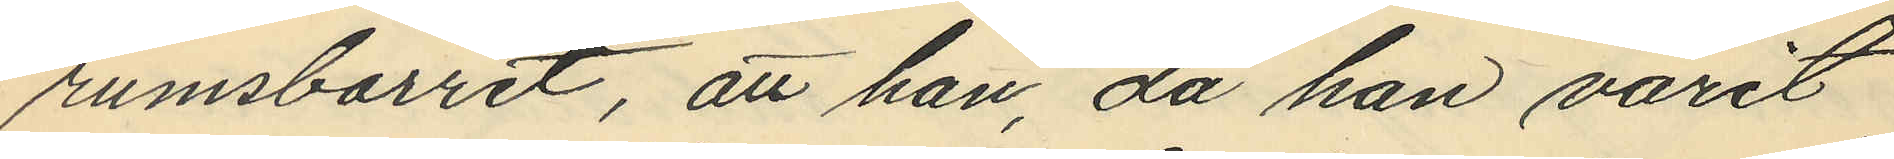rumsborret, att han, då han varit
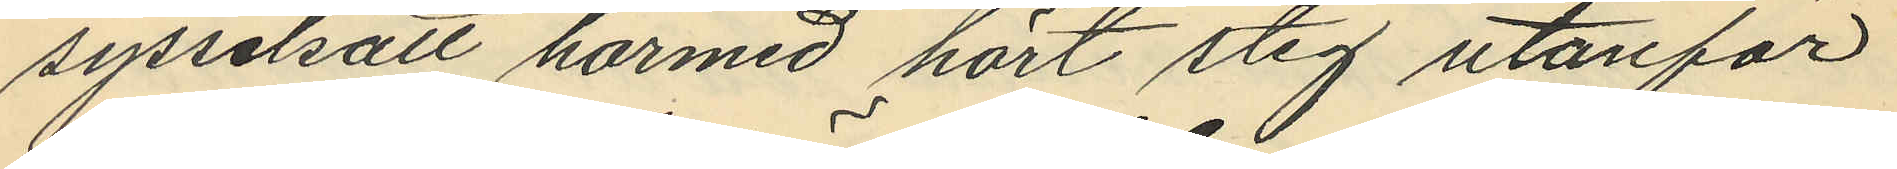sysselsatt härmed hört stig utanför
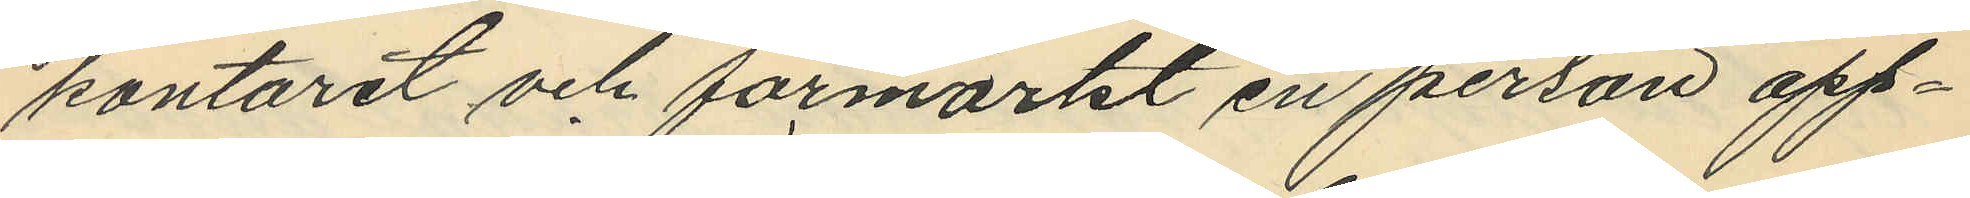kontoret och förmärkt en person opp¬
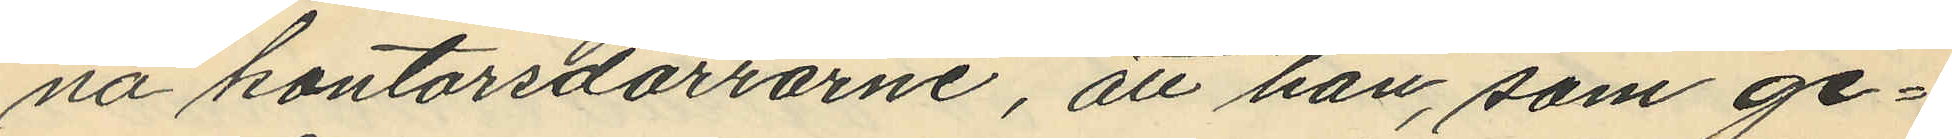na kontorsdörrarne, att han, som ge¬
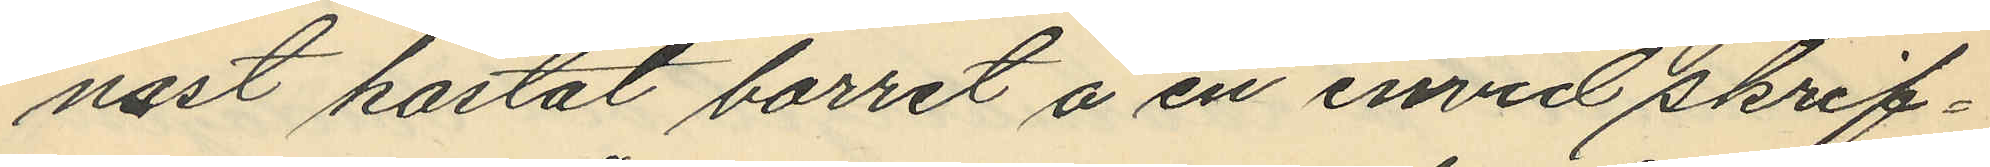nast kastat borret å en invid skrif¬
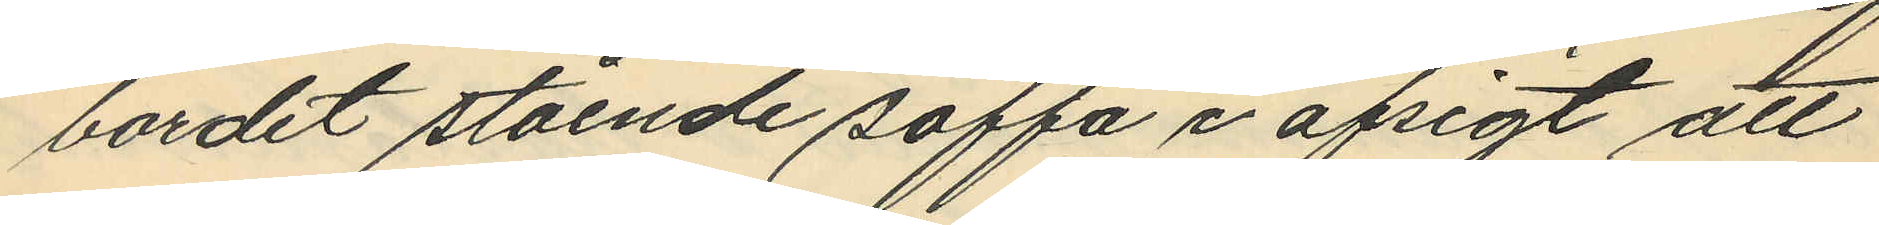bordet stående soffa i afsigt att
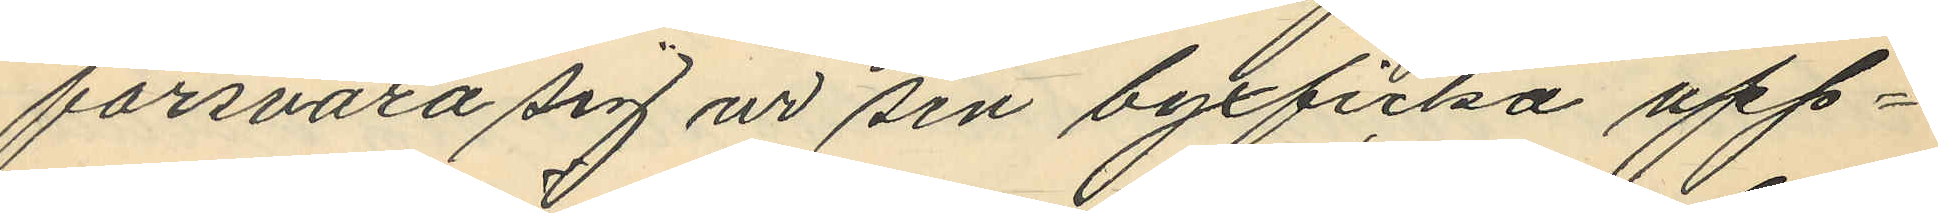försvara sig ur sin byxficka upp¬
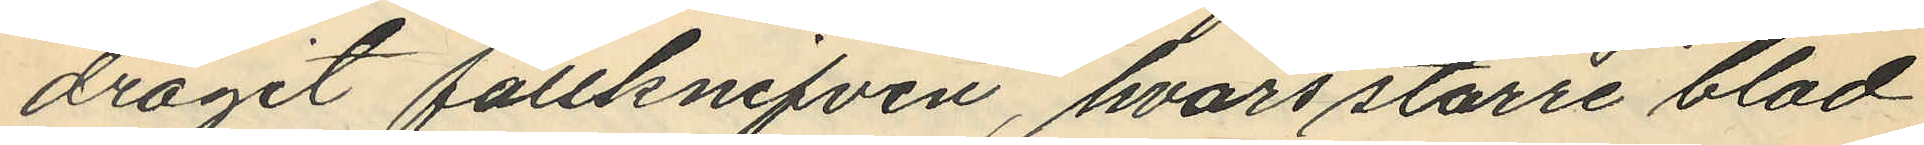dragit fällknifven, hvars större blad
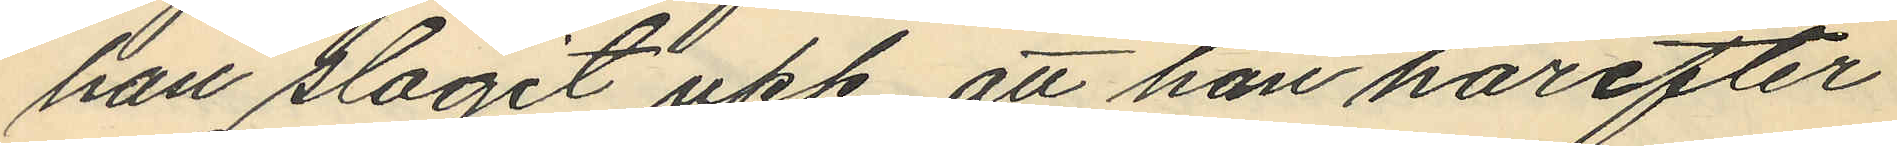han slagit upp att han härefter
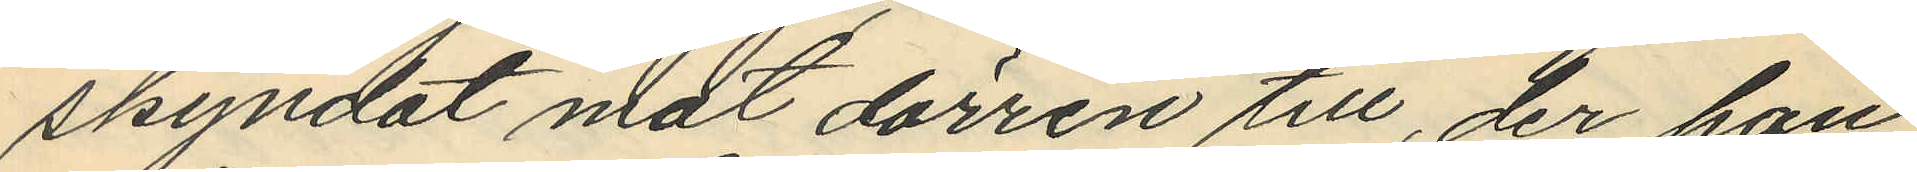skyndat mot dörren till, der han
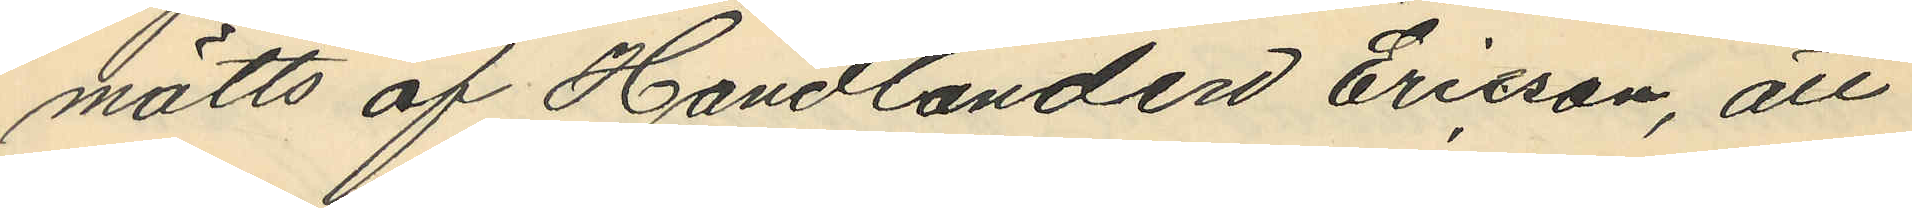mötts af Handlanden Ericson, att
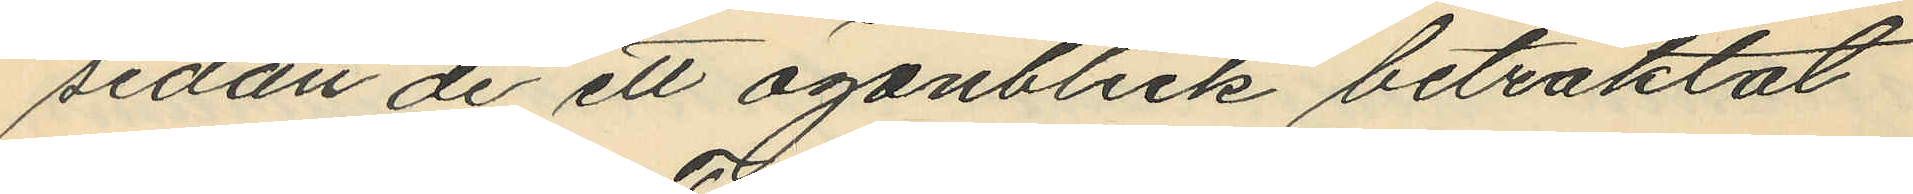sedan de ett ögonblick betraktat
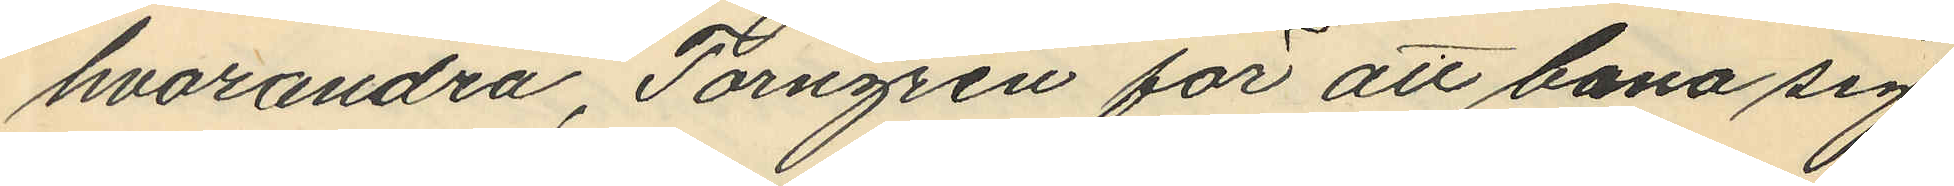hvarandra, Törngren för att bana sig
